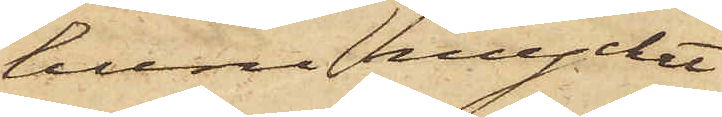huru mycket
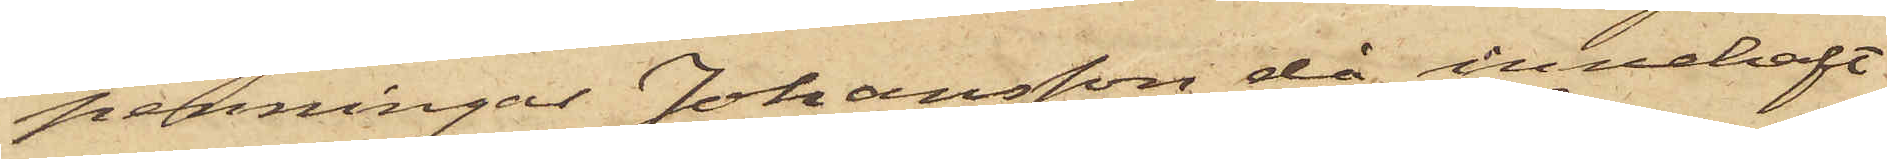penningar Johansson då innehaft
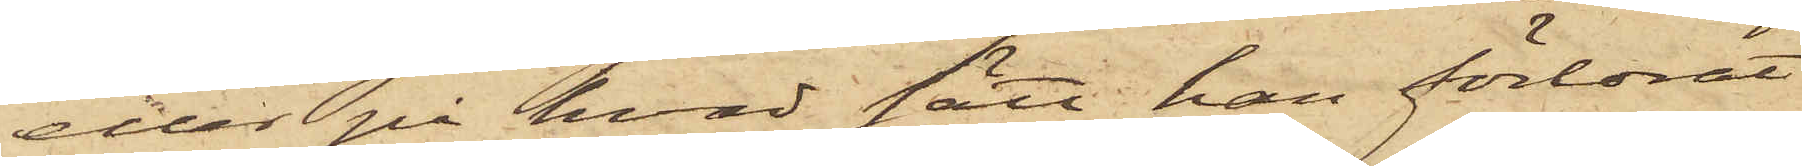eller på hvad sätt han förlorat
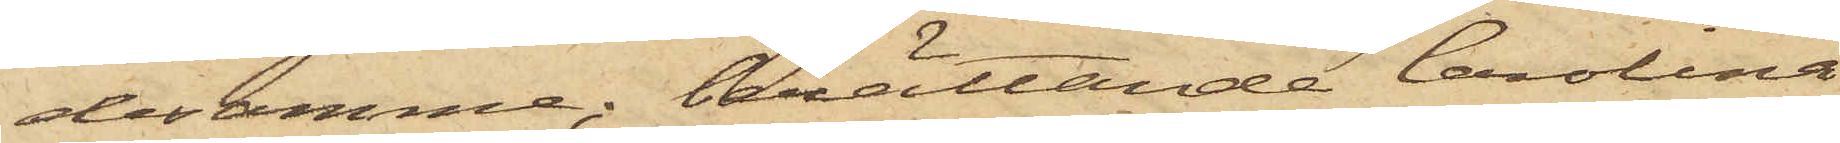desamme; berättande Carolina
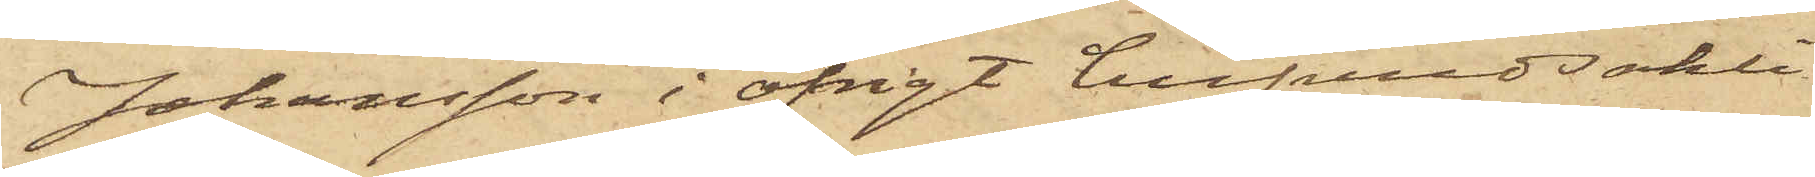Johansson i öfrigt hufvudsakli¬
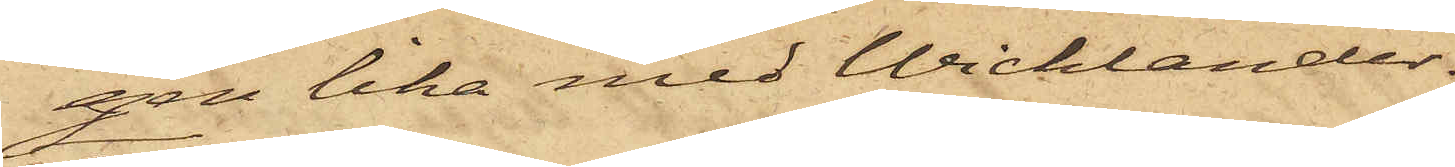gen lika med Wicklander.
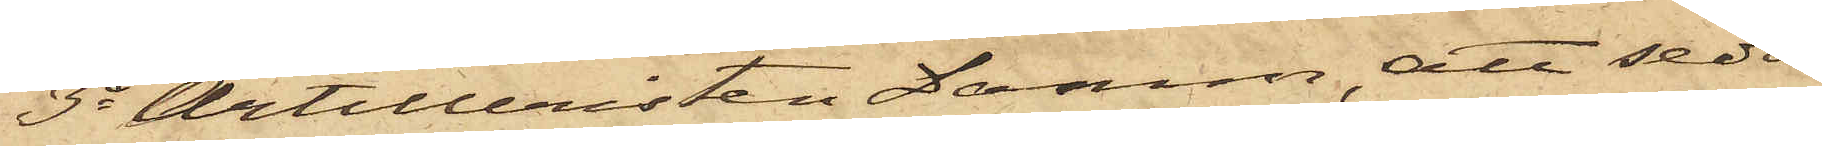3o Artilleristen Damm, att sedan
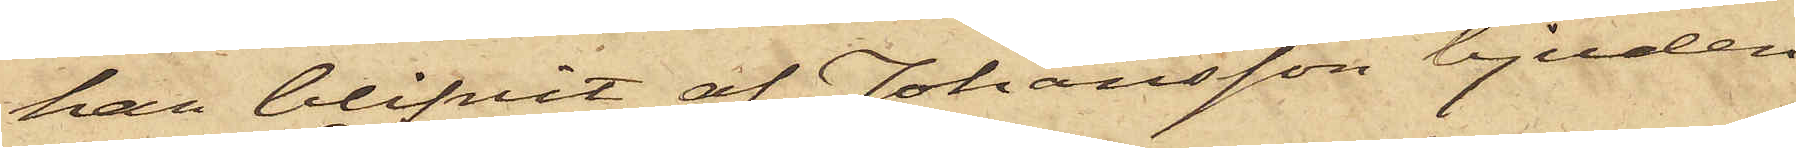han blifvit af Johansson bjuden
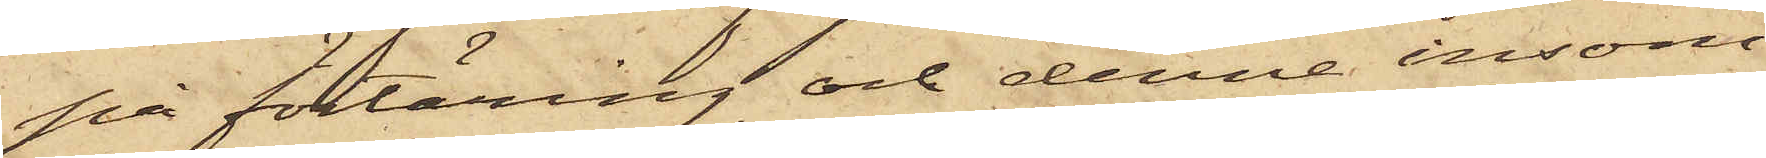på förtäring och denne insom¬
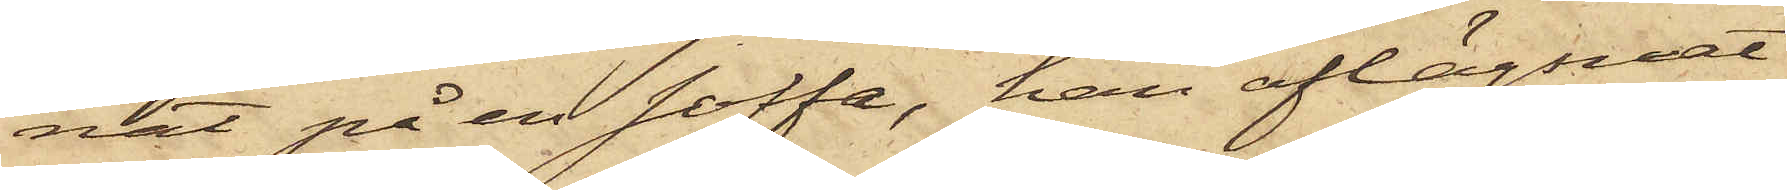nat på en soffa, han aflägsnat
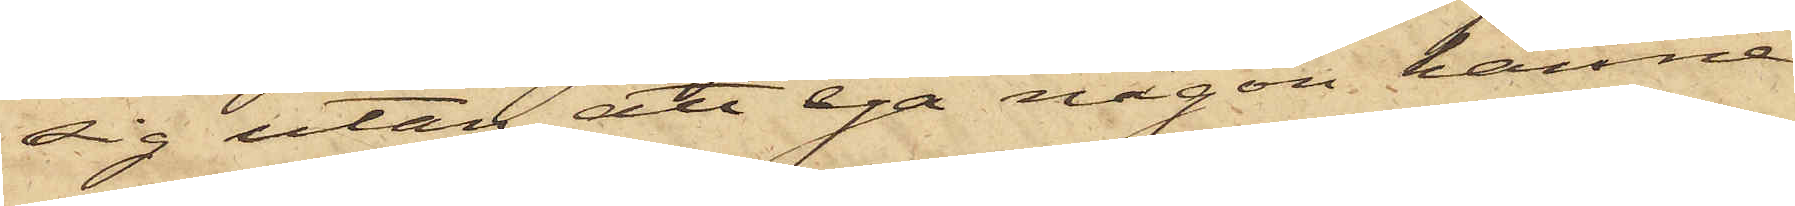sig utan att ega någon känne¬
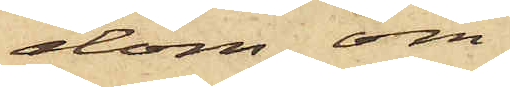dom om
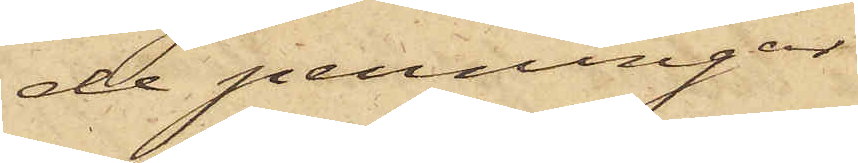de penningar
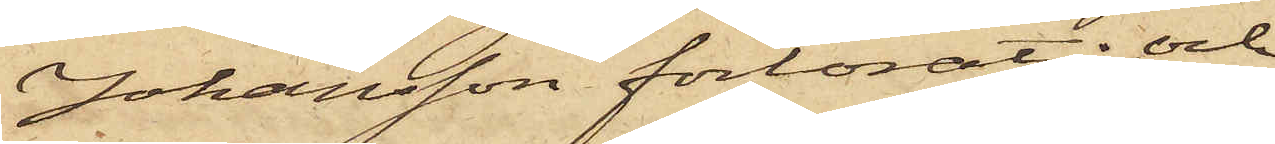Johansson förlorat: och
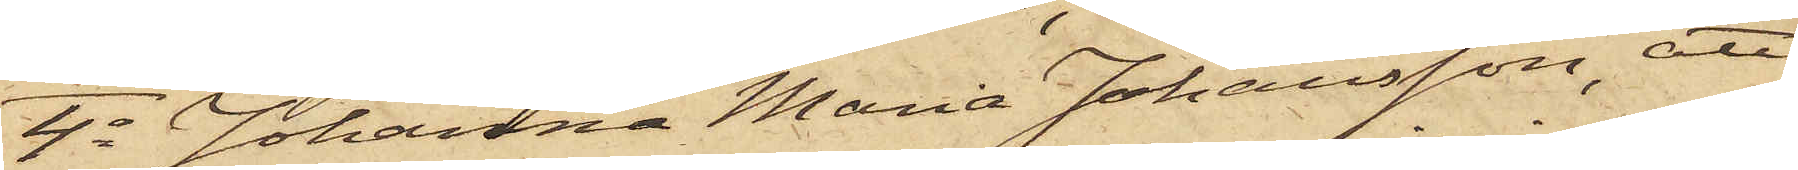4o Johanna Maria Johansson, att
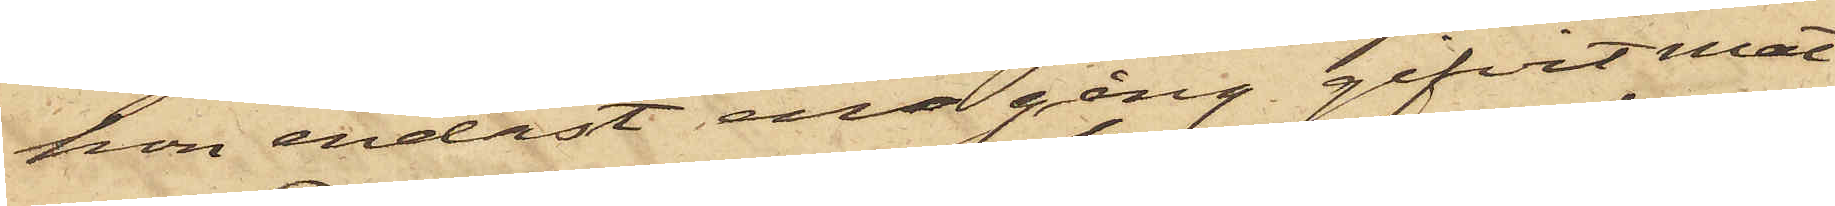hon endast en gång gifvit mat
